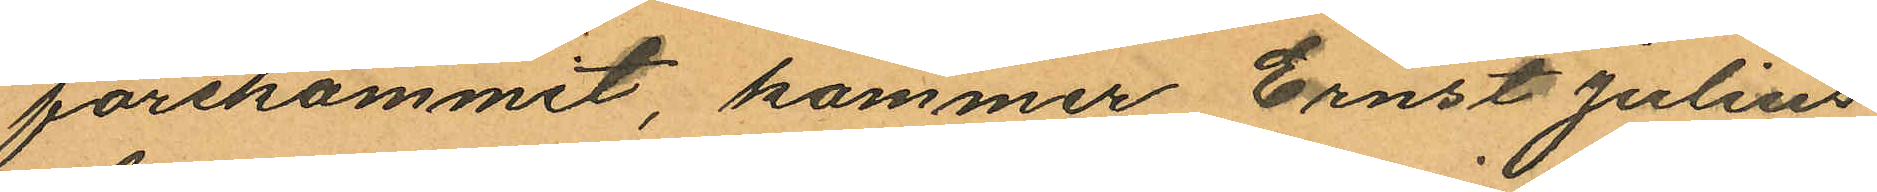förekommit, kommer Ernst Julius
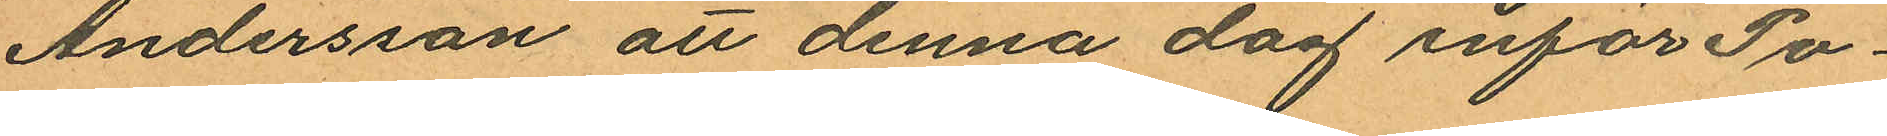Andersson att denna dag inför Po¬
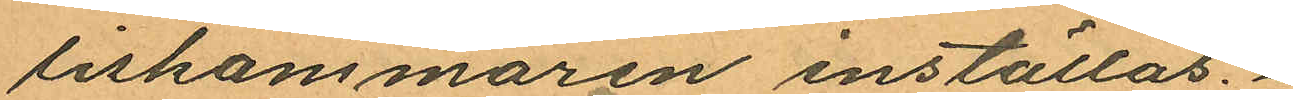liskamsmaren inställas.
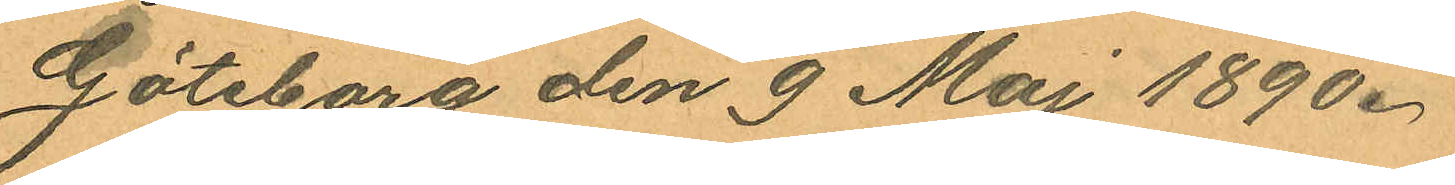Göteborg den 9 Maj 1890.
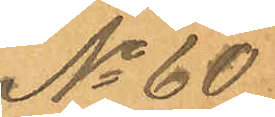No 60
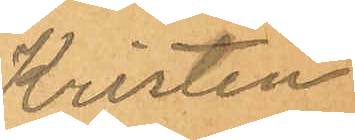Kristen
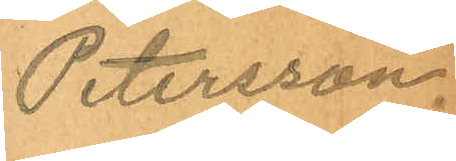Petersson.
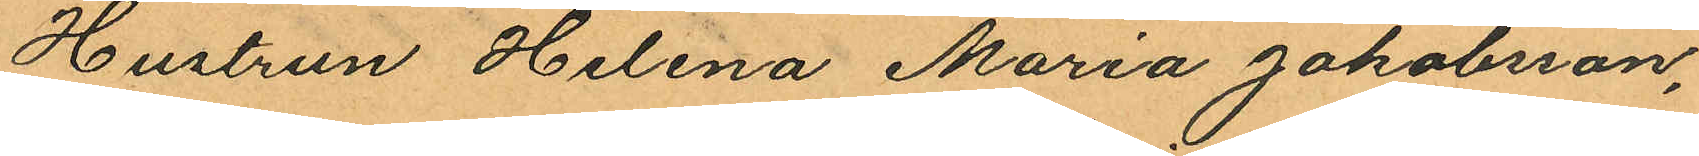Hustrun Helena Maria Jakobsson,
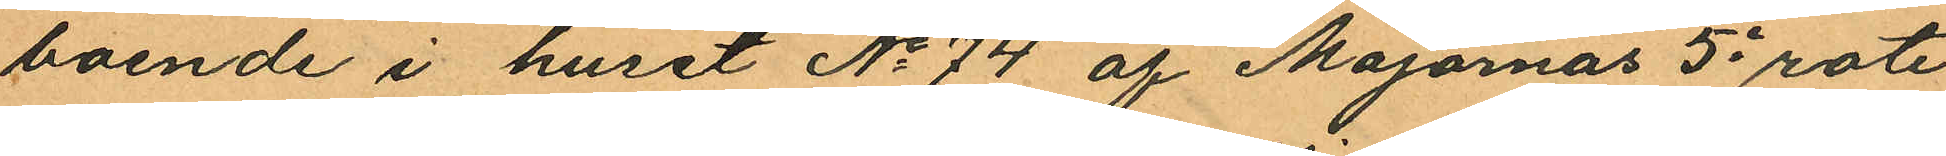boende i huset No 74 af Majornas 5e rote
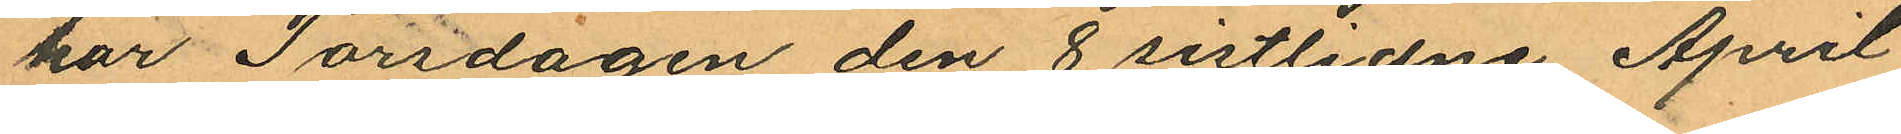har Torsdagen den 8 sistlidne April
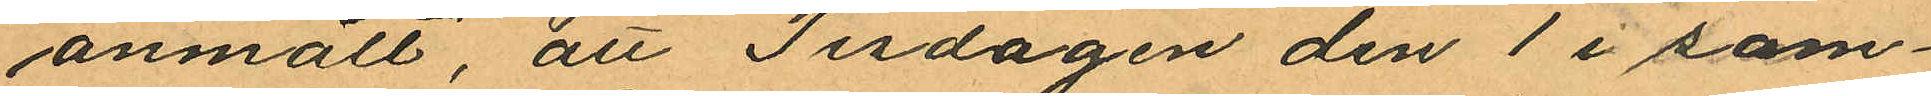anmält, att Tisdagen den 1 i sam¬
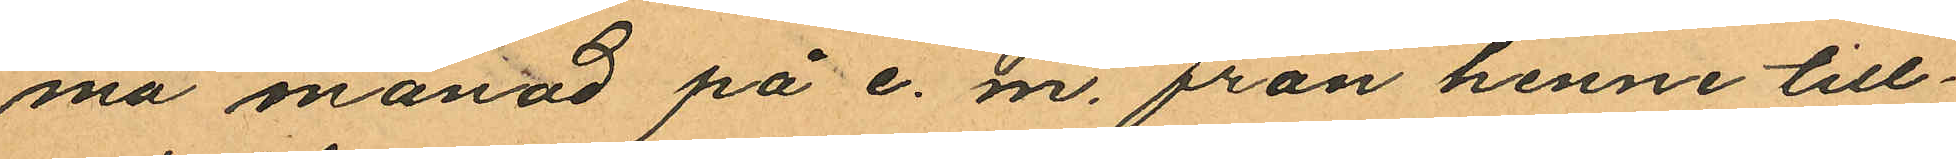ma månad på e. m. från henne till¬
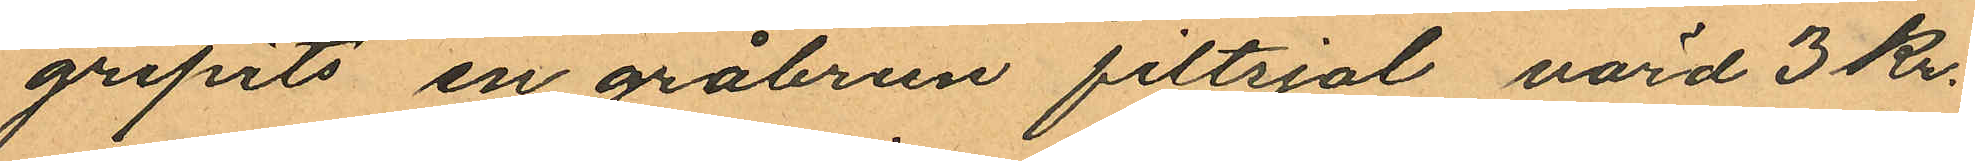gripits en gråbrun filtsjal, värd 3 Kr.
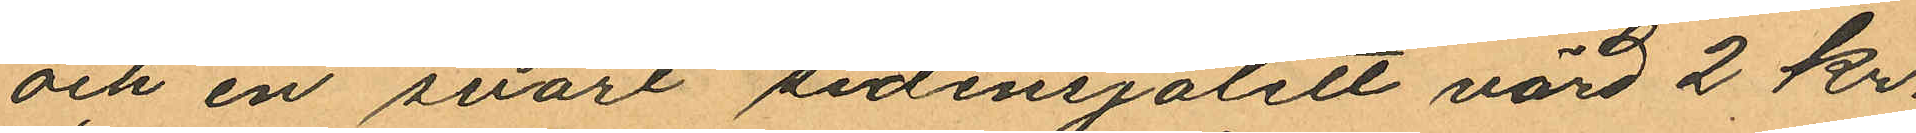och en svart sidensjalett värd 2 kr.
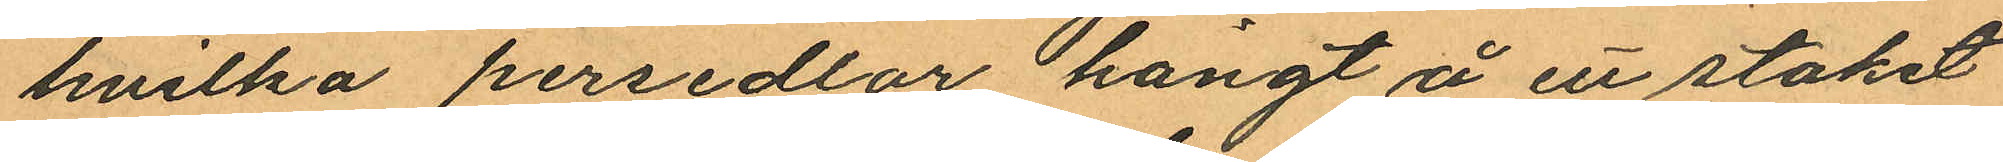hvilka persedlar hängt å ett staket
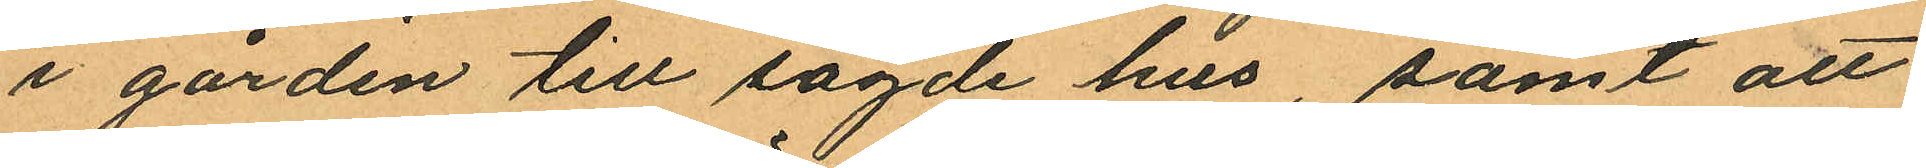i gården till sagde hus, samt att
